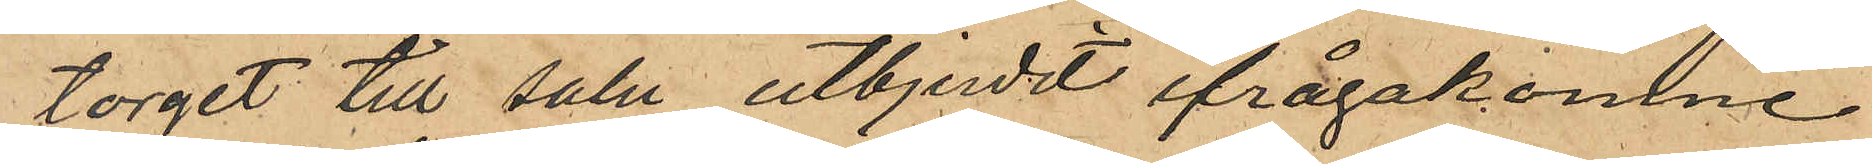torget till salu utbjudit ifrågakomne
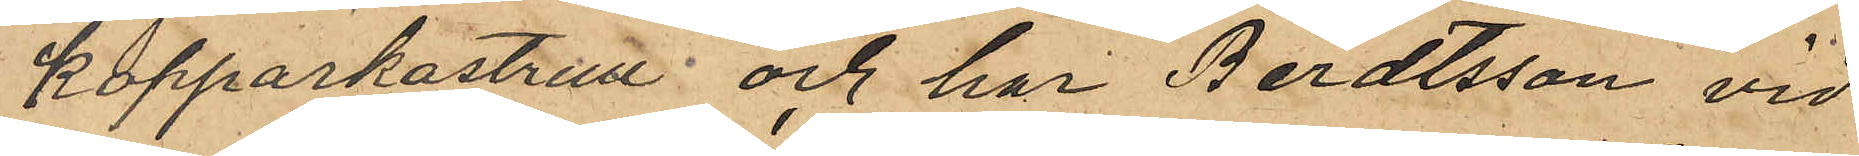kopparkastrull och har Berdtsson vid
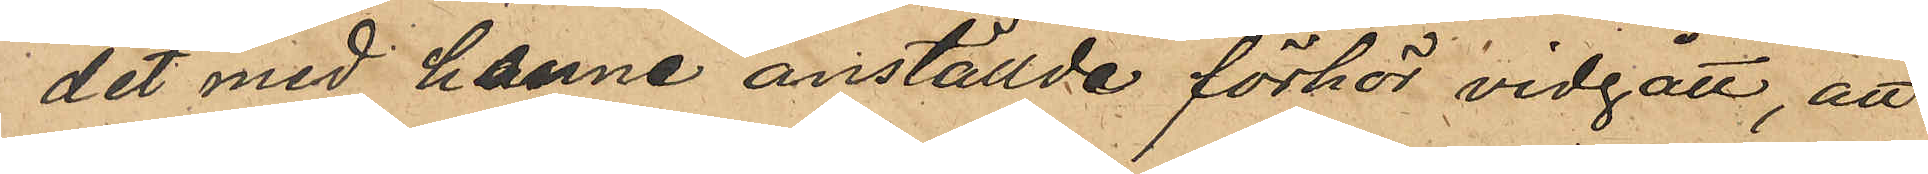det med henne anställde förhör vidgått, att
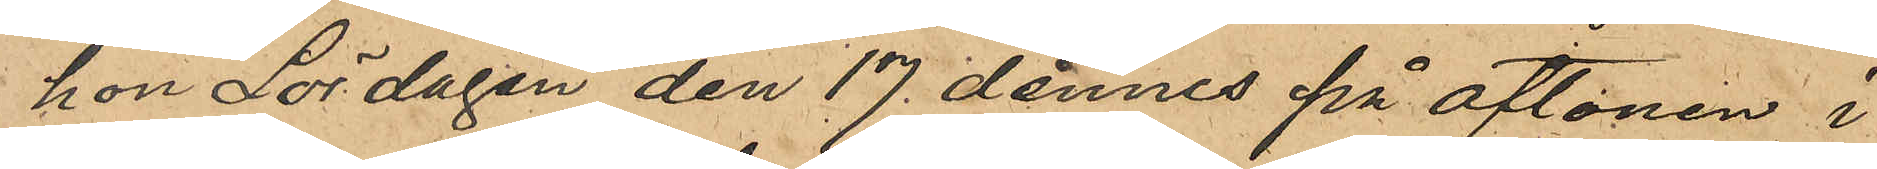hon Lördagen den 17 dennes på aftonen i
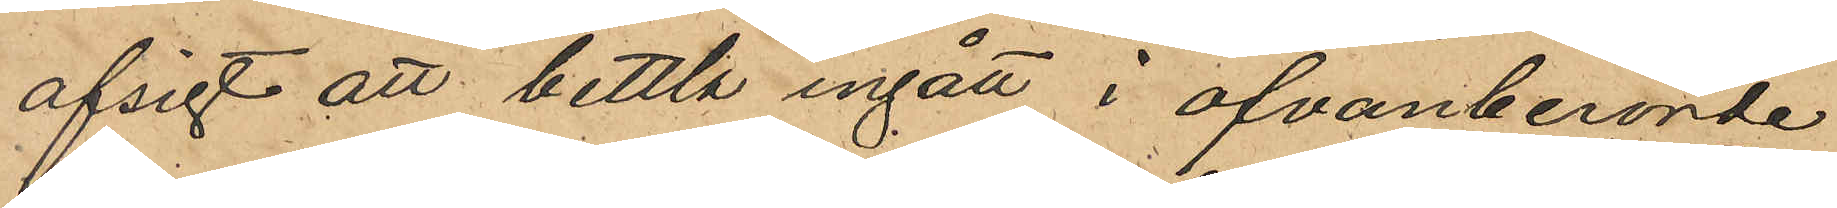afsigt att bettla ingått i ofvanberörde
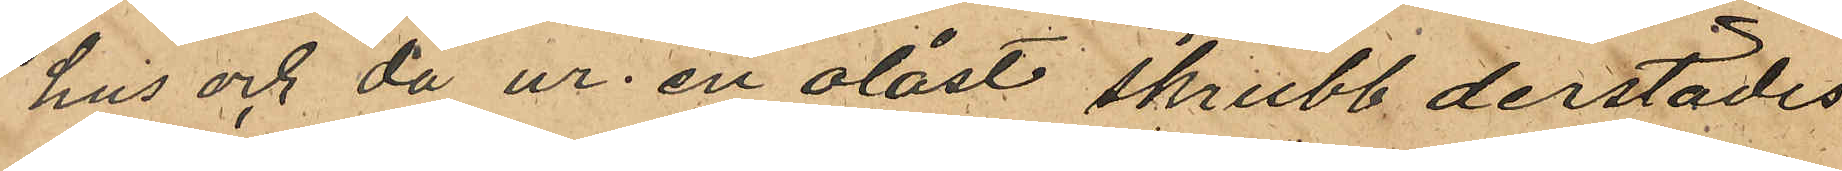hus och då ur en olåst skrubb derstädes
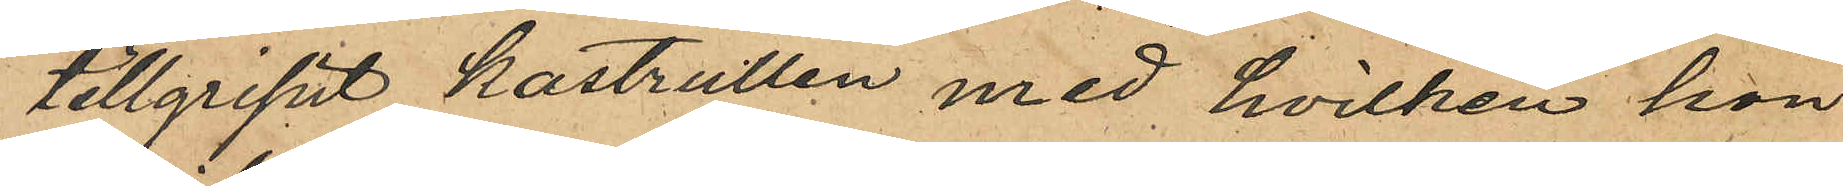tillgripit kastrullen med hvilken hon
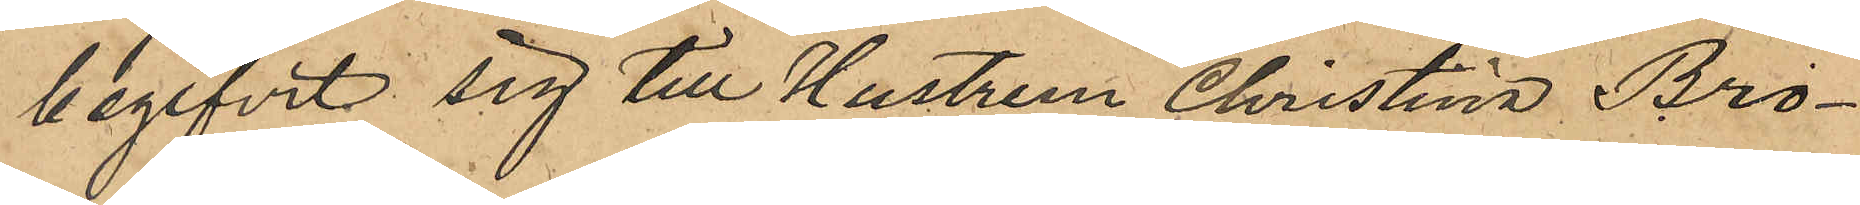begifvit sig till Hustrun Christina Bro¬
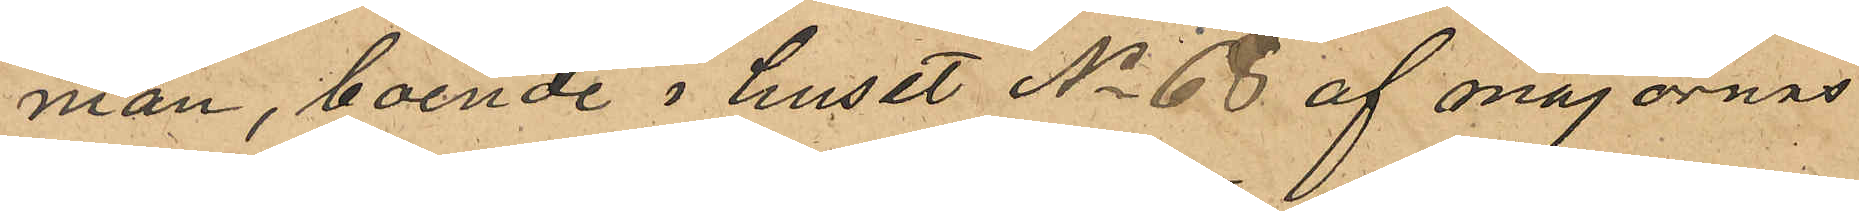man, boende i huset No 68 af majornas
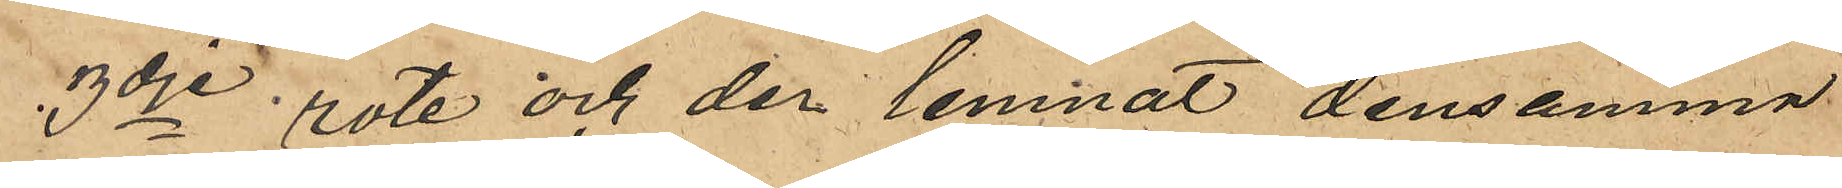3dje rote och der lemnat densamma
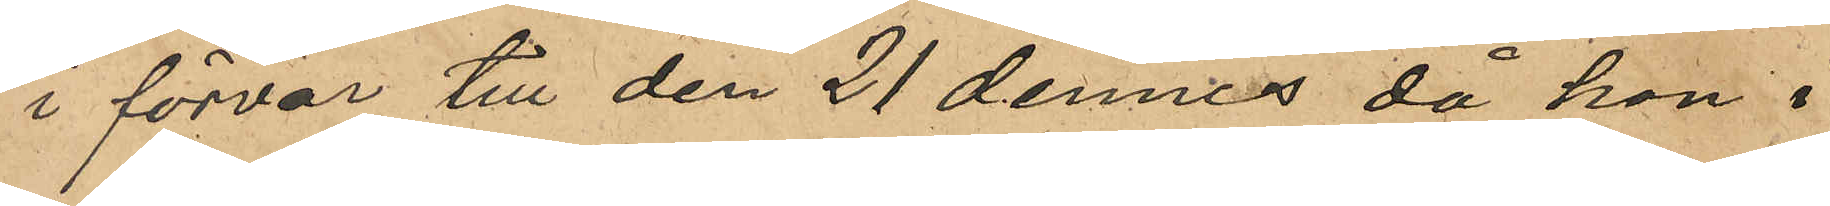i förvar till den 21 dennes då hon i
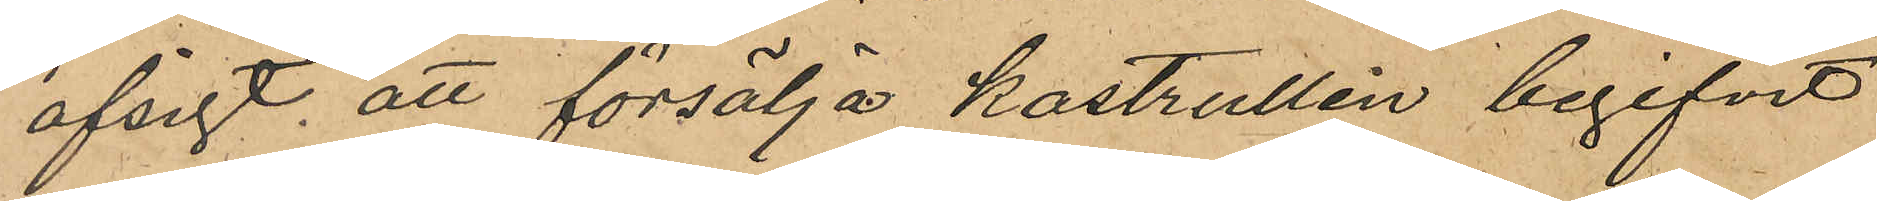afsigt att försälja kastrullen begifvit
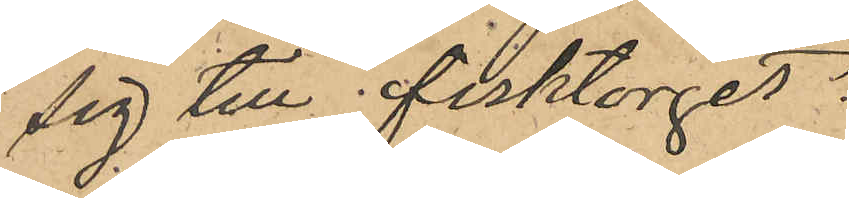sig till fisktorget.
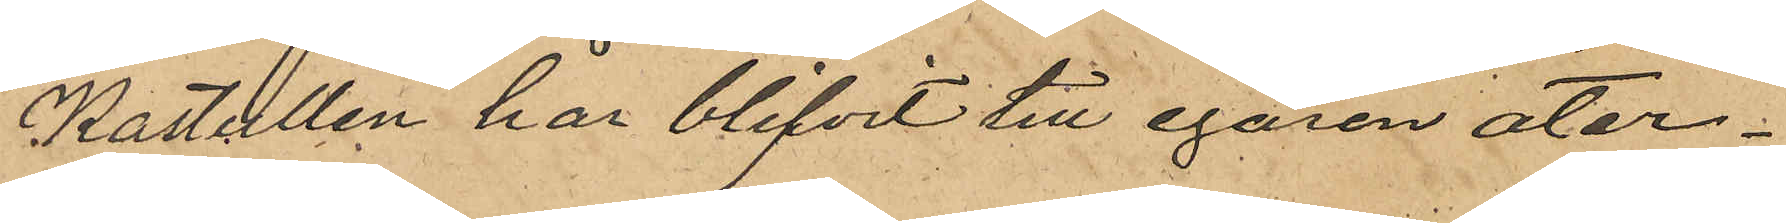Kastullen har blifvit till egaren åter¬
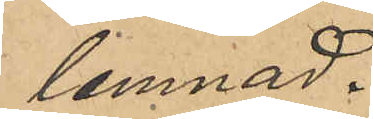lemnad.
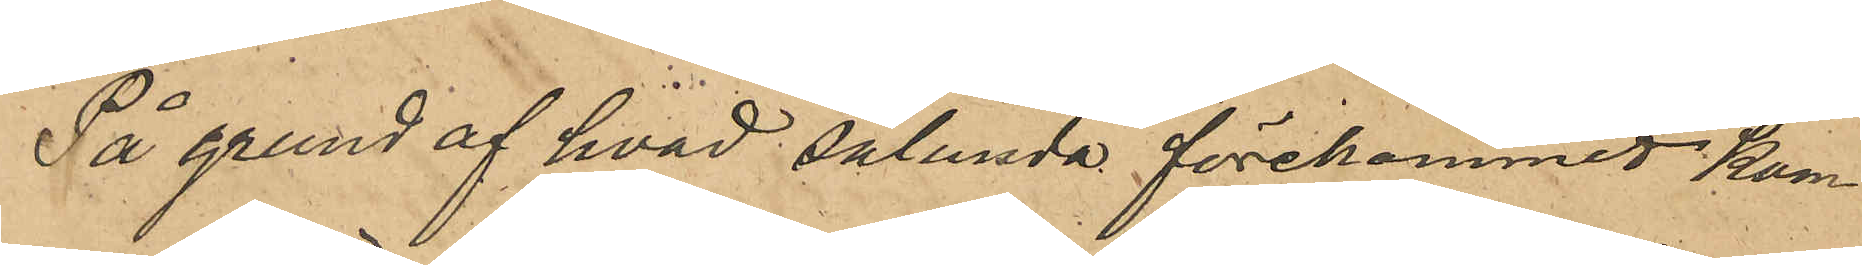På grund af hvad sålunda förekommit kom¬
